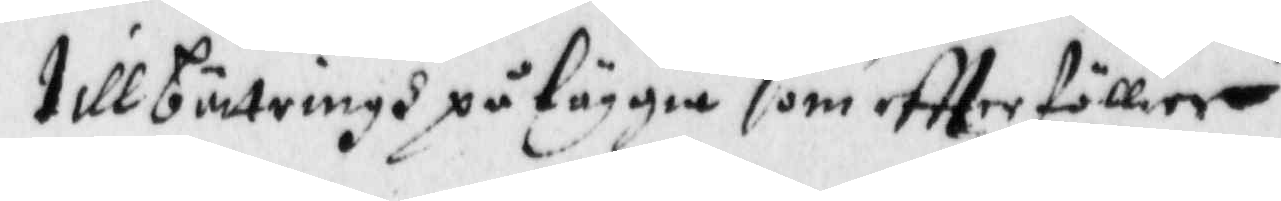till bättringh påläggia som eftterföllier.
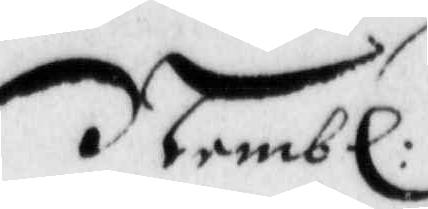Nembl:
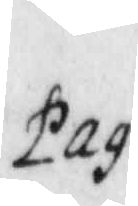Pag:
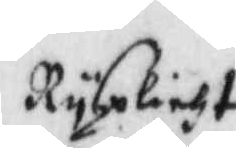Rysplicht
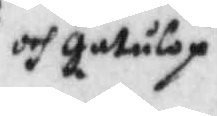och gatulop
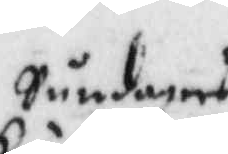Sundagers
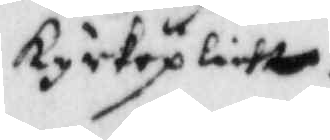kyrkeplicht
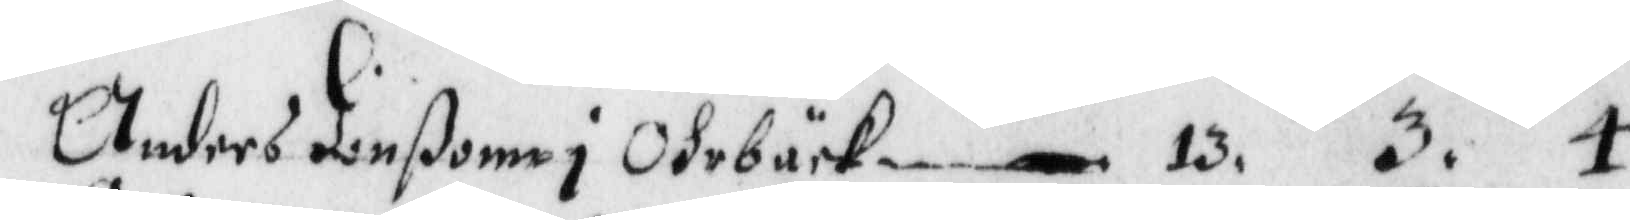Anders Jonßonn i Ohrbäck 13.3.4.
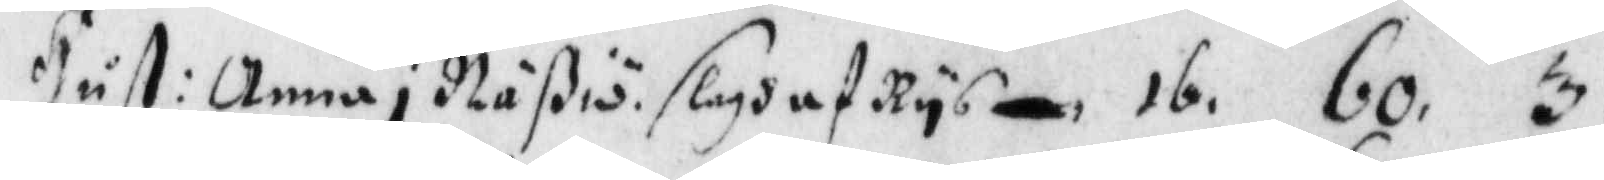Hust: Anna i Näßiö. slagh af Rys, 16.60.3.
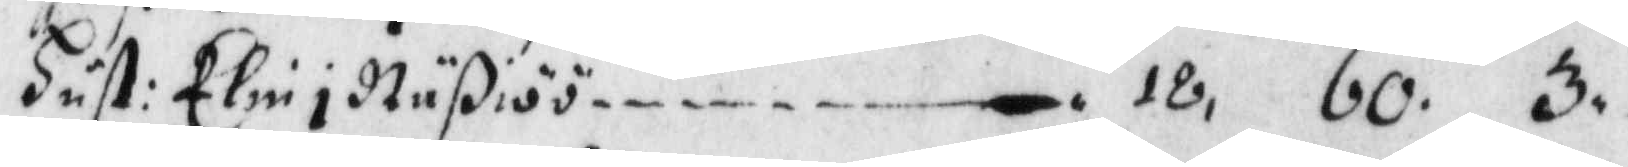Hust: Elin i Näßiöö, 18.60.3.
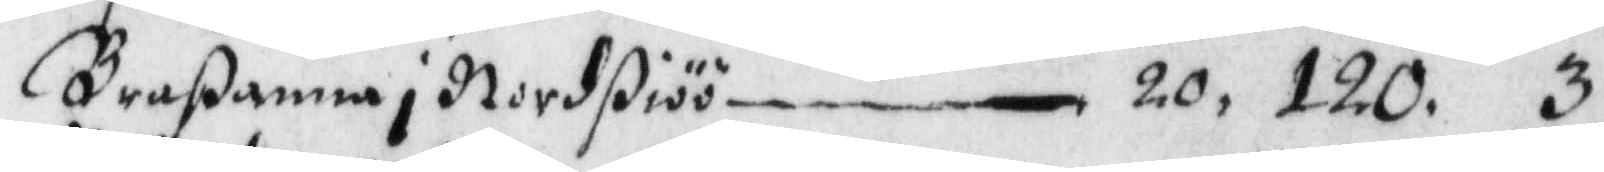Braßanna i Nordßiöö, 20.120.3.
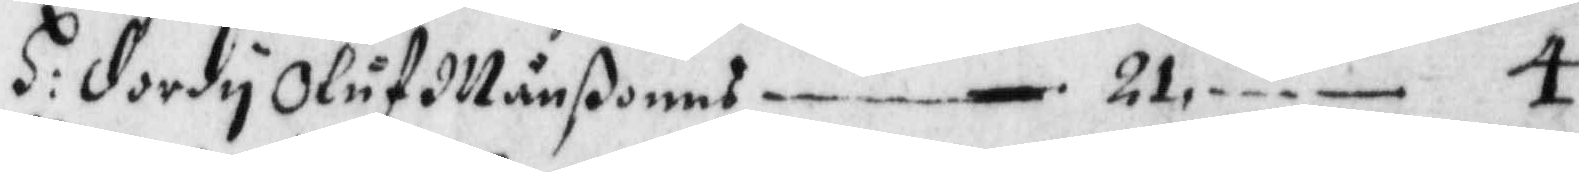H: dordy Oluf Månßons, 21. —. 4.
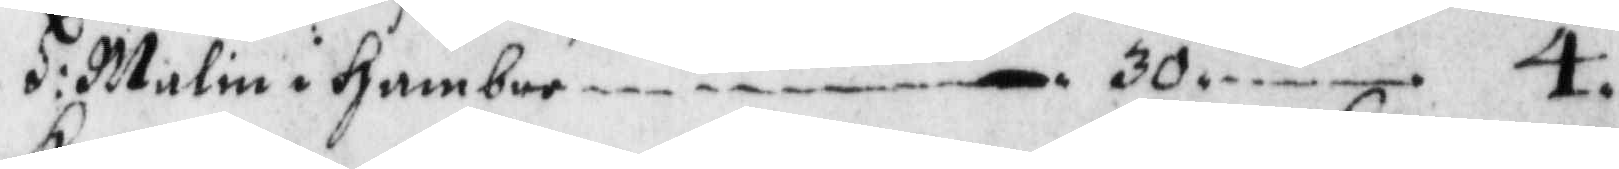H: Malin i Hambre, 30. —. 4.
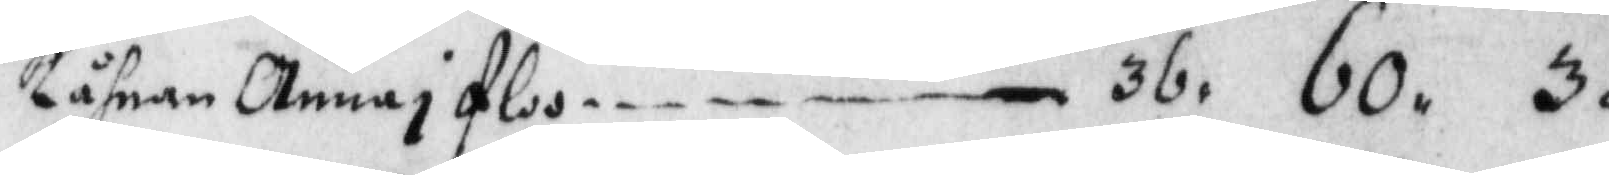Kåhnan Anna i Floo, 36. 60. 3.
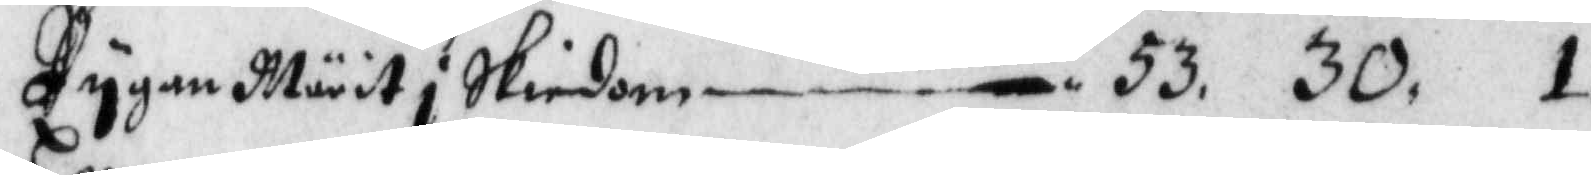Pygan Märit i Skiedom, 53. 30. 1.
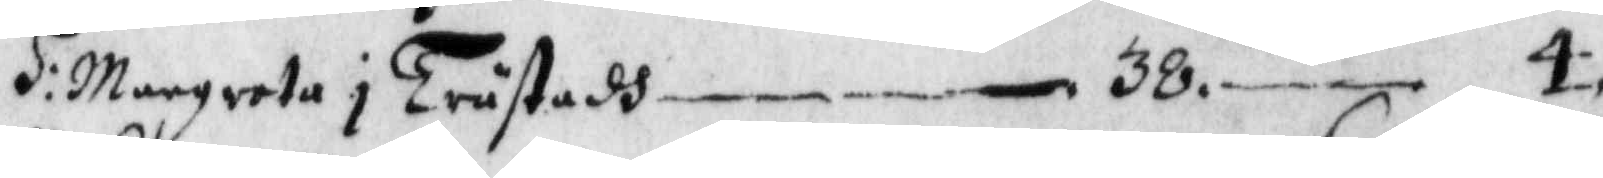H: Margreta i Trästadh, 38. —. 4.
